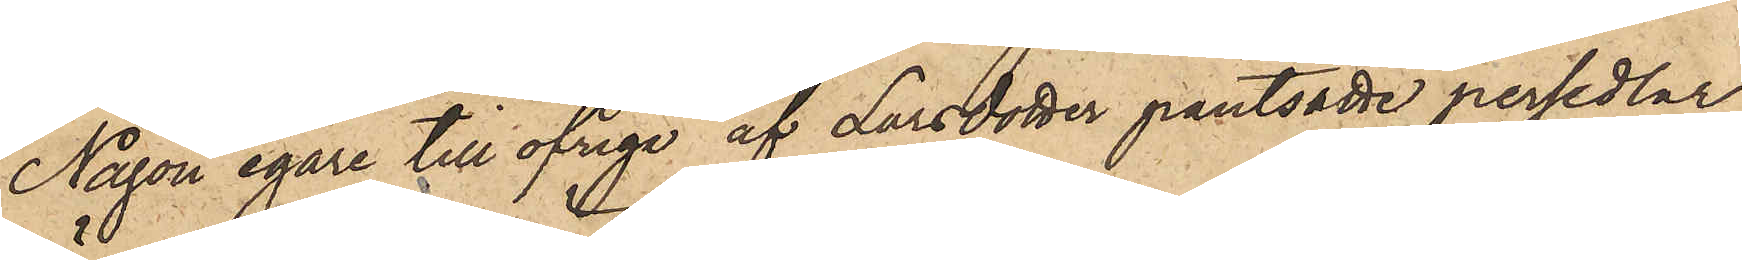Någon egare till öfriga af Larsdotter pantsatte persedlar
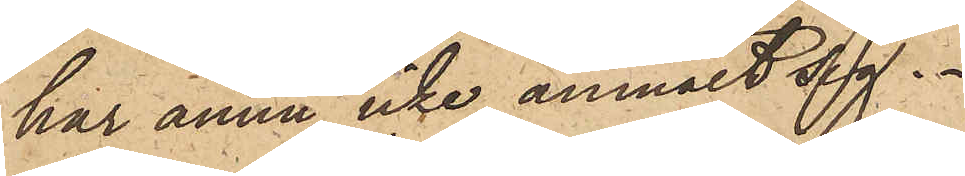har ännu icke anmält sig.
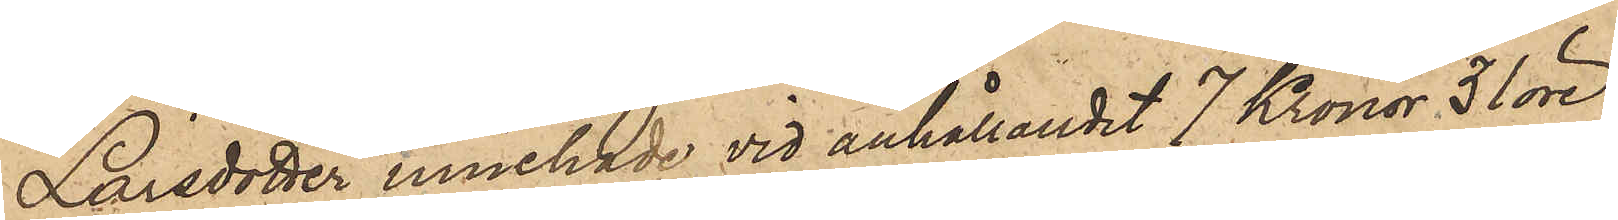Larsdotter innehade vid anhållandet 7 Kronor 31 öre,
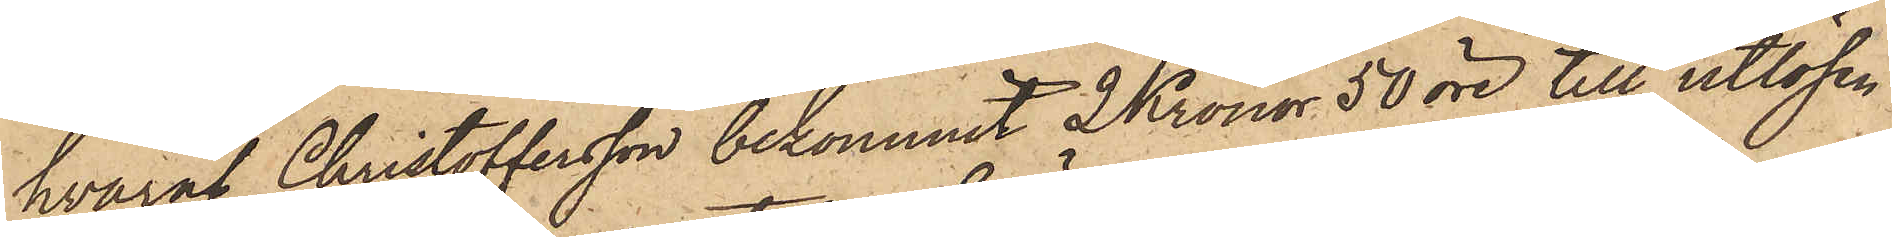hvaraf Christoffersson bekommit 2 Kronor 50 öre till utlösen
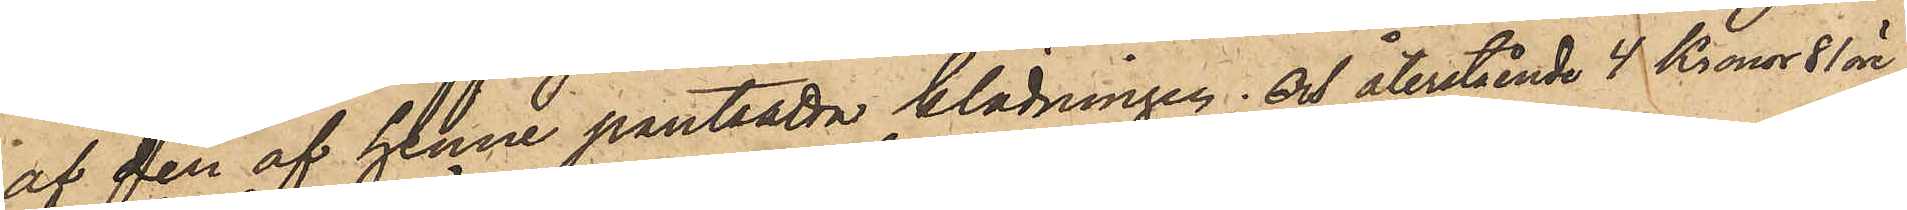af den af henne pantsatta klädningen; och återstående 4 Kronor 81 öre,
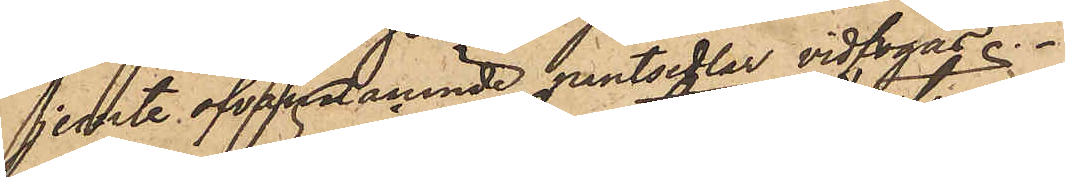jemte ofvannnämnde pantsedlar vidfogas.
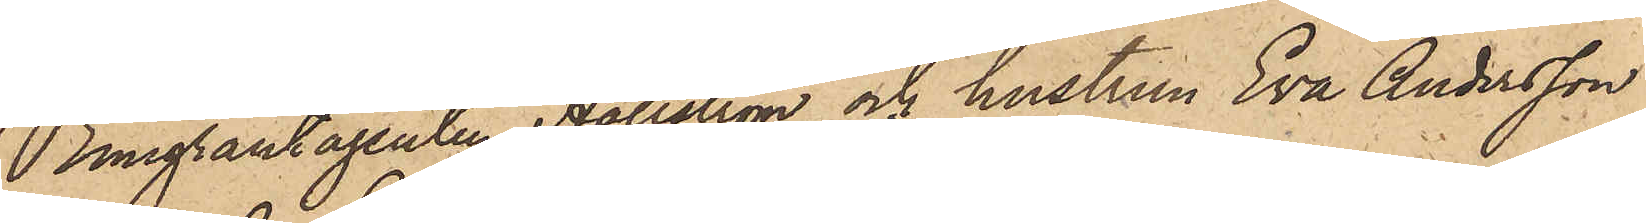Emigrantagenten Hällström och hustrun Eva Andersson
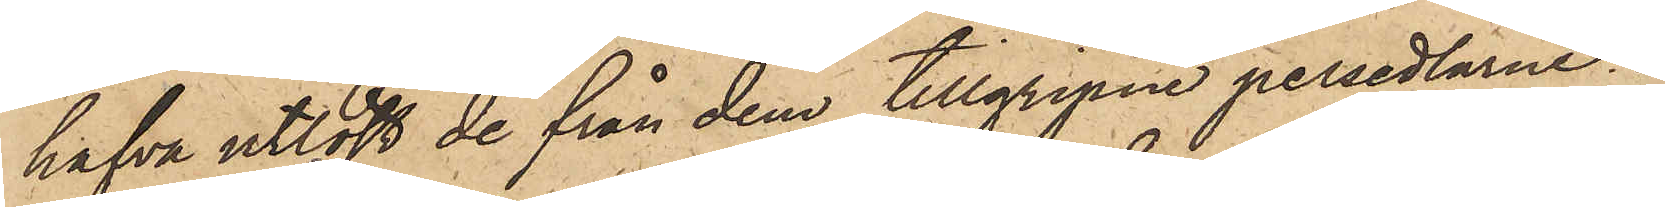hafva utlöst de från dem tillgripne persedlarne.
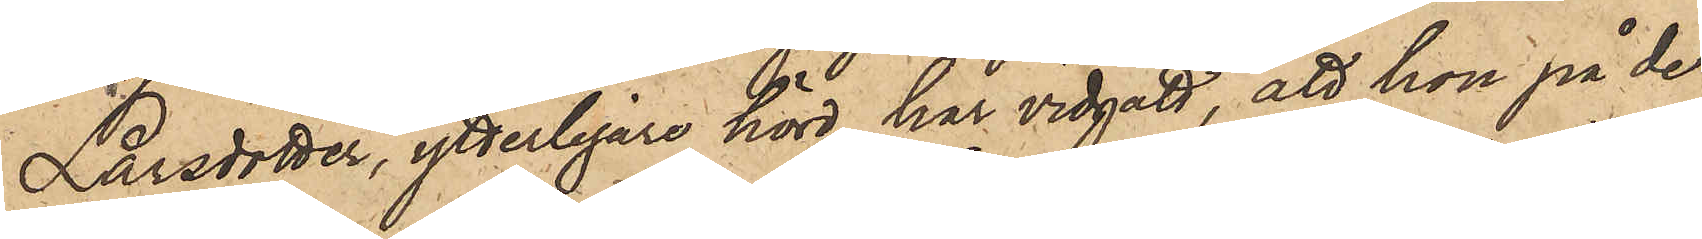Larsdotter, ytterligare hörd, har vidgått, att hon på de
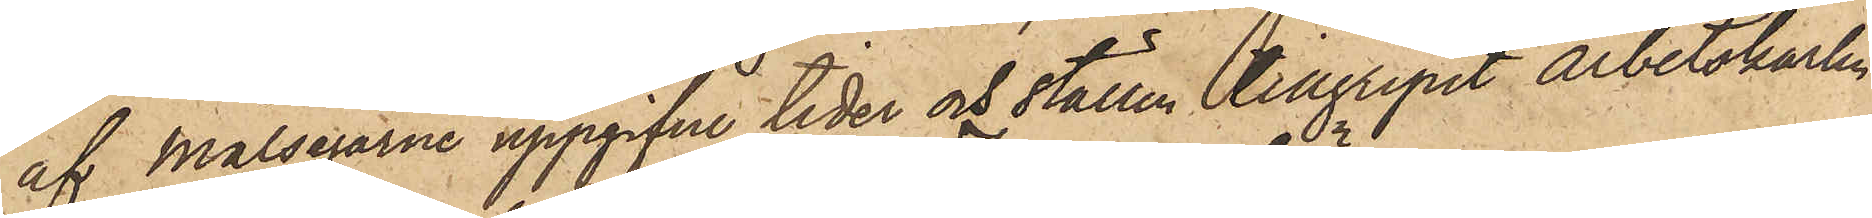af Målsegarne uppgifne tider och ställen tillgripit Arbetskarlen
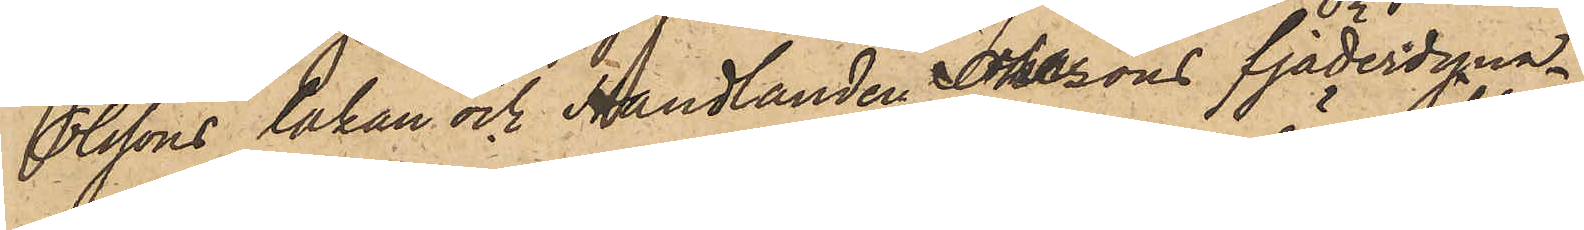Olssons lakan och Handlanden Johnsons fjäderdyna.
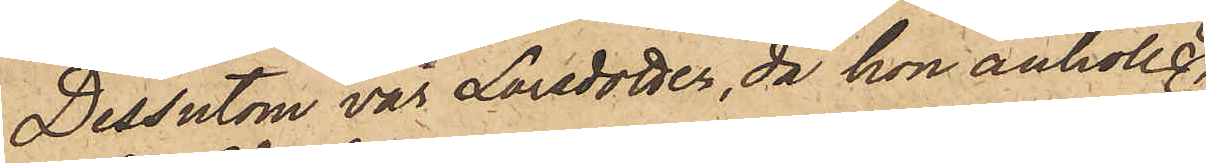Dessutom var Larsdotter, då hon anhölls,
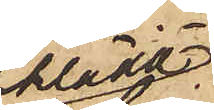klädd i
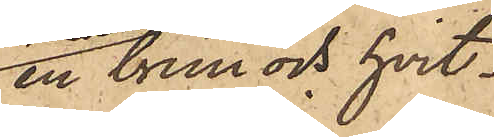en brun och hvit¬
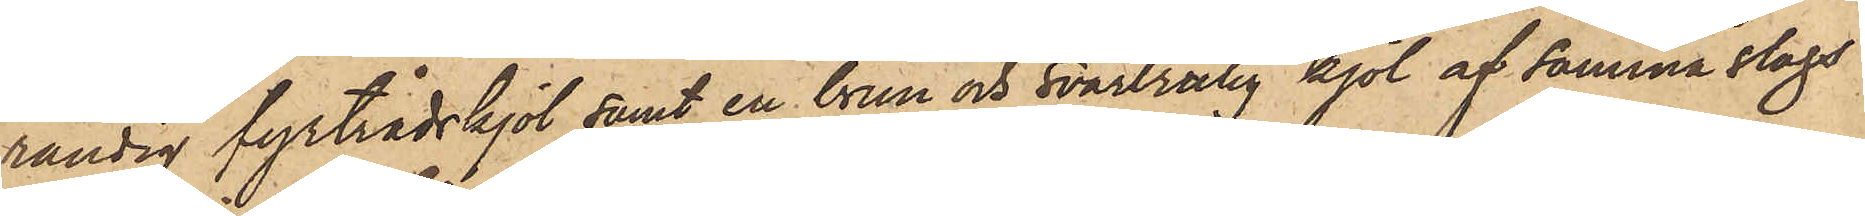randig fyrtrådskjol samt en brun och svartrutig kjol af samma slags
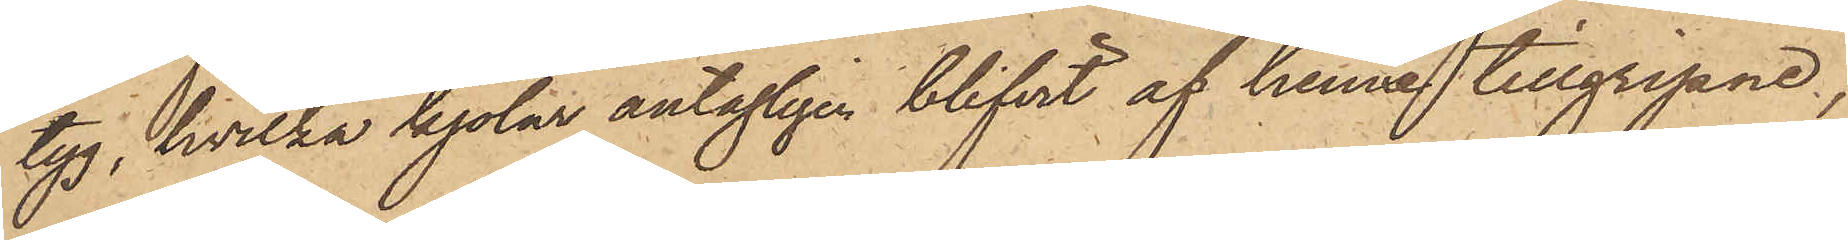tyg, hvilka kjolar antagligen blifvit af henne tillgripne,
